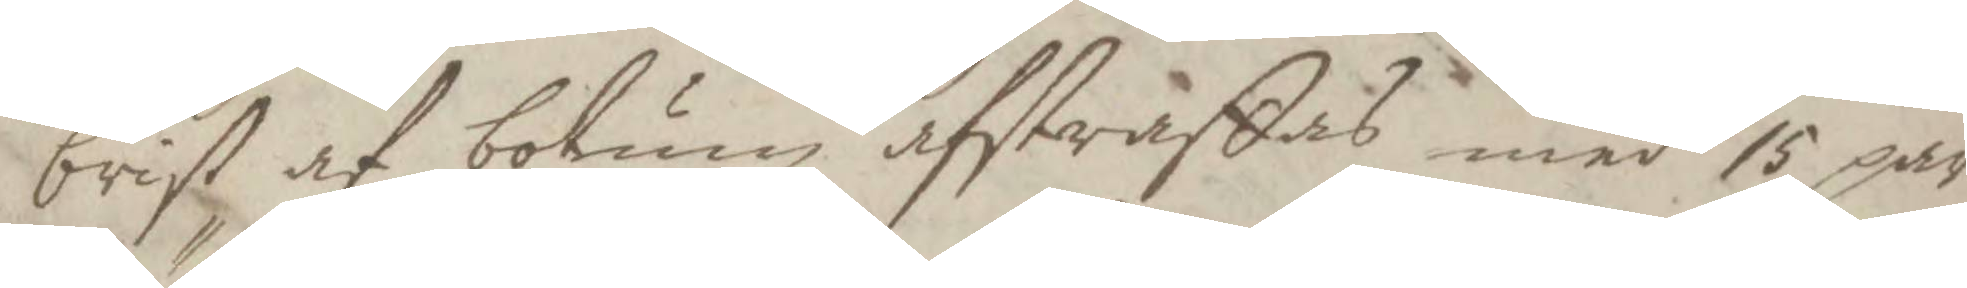brist af botum afstraffas med 15 par
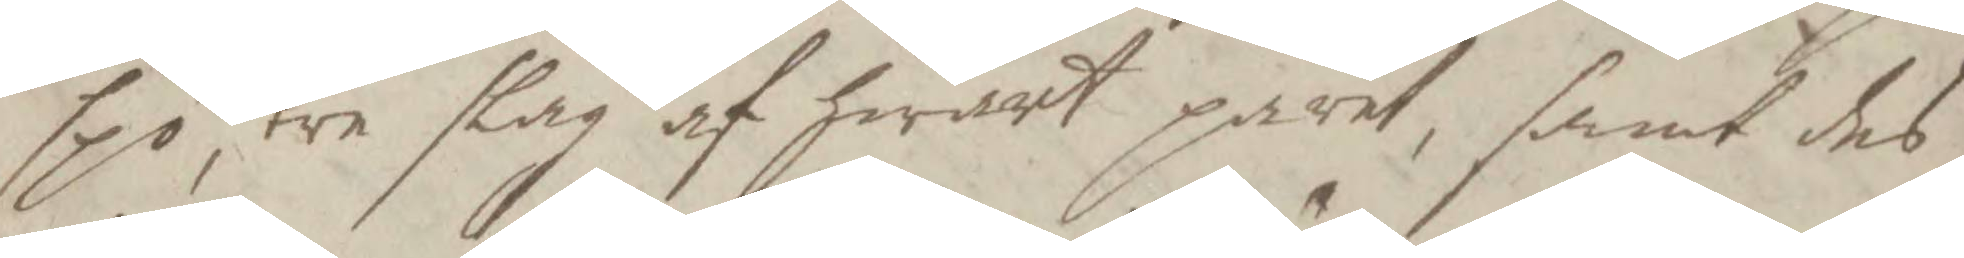spö, tre slag af hwart paret, samt des
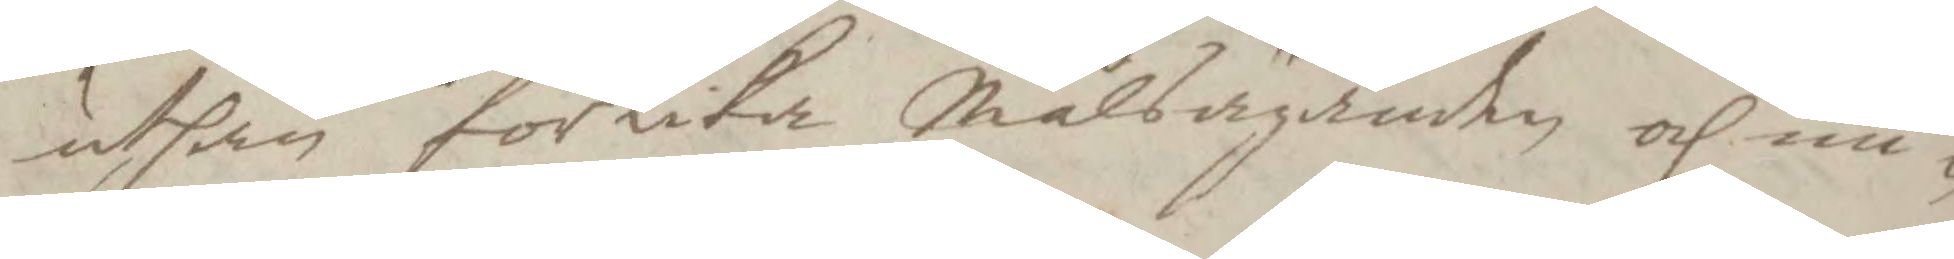uthan förlika Målsäganden och un¬
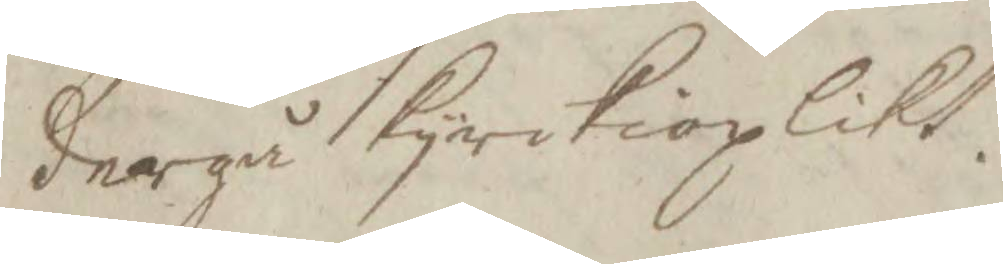dergå kyrckioplikt.
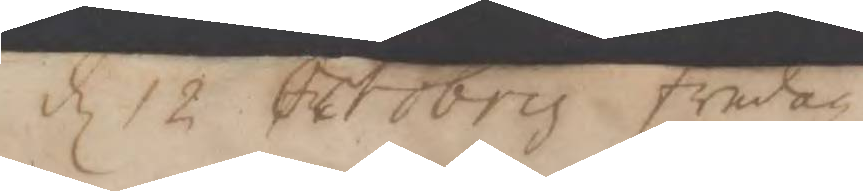d 12 October fredag
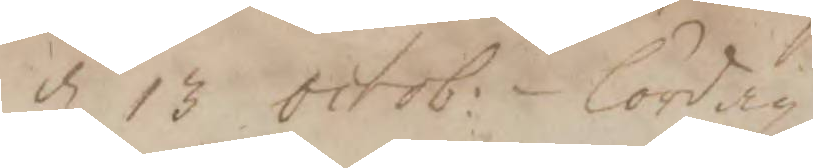d 13 octob: lördag
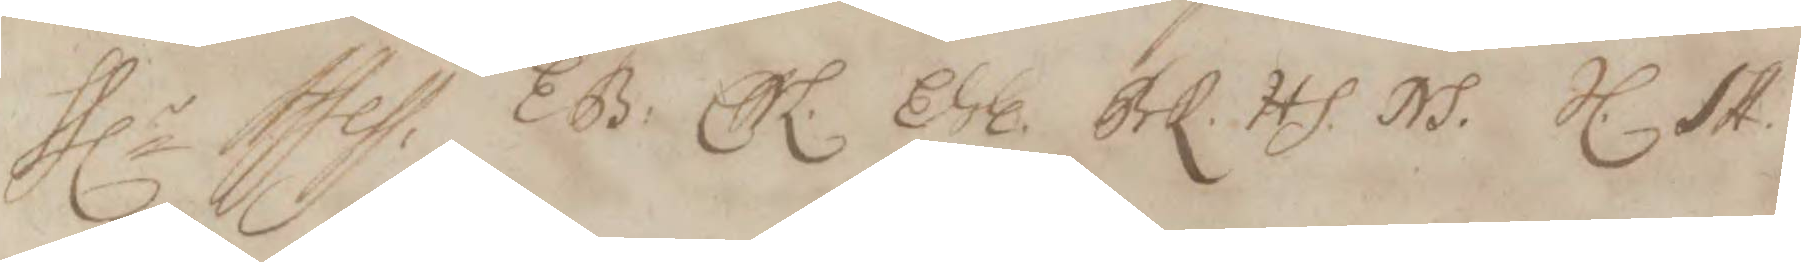Hlr Assess. EB. CHL. EGE. BrK. HS. NS. JL. SA.
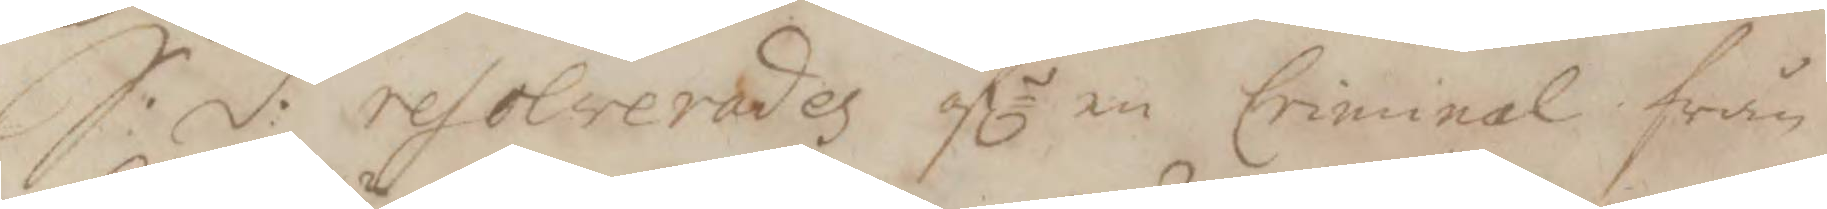S:d: resolverades öfe en Criminal från
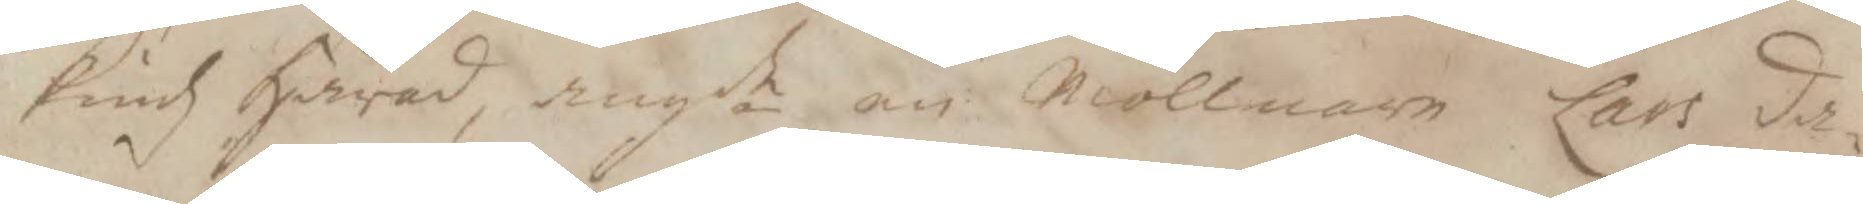Tiudz Härad, ang.de en Möllman Lars da¬
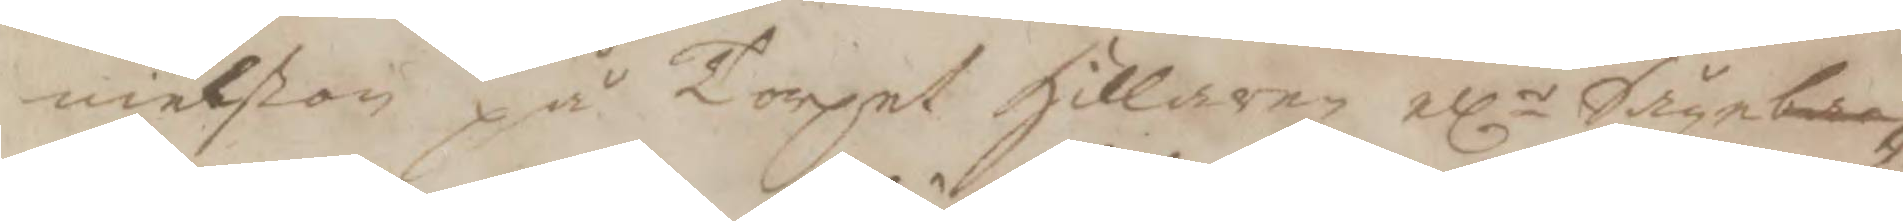nielßon på Torget hillaren ellr Såge bac¬
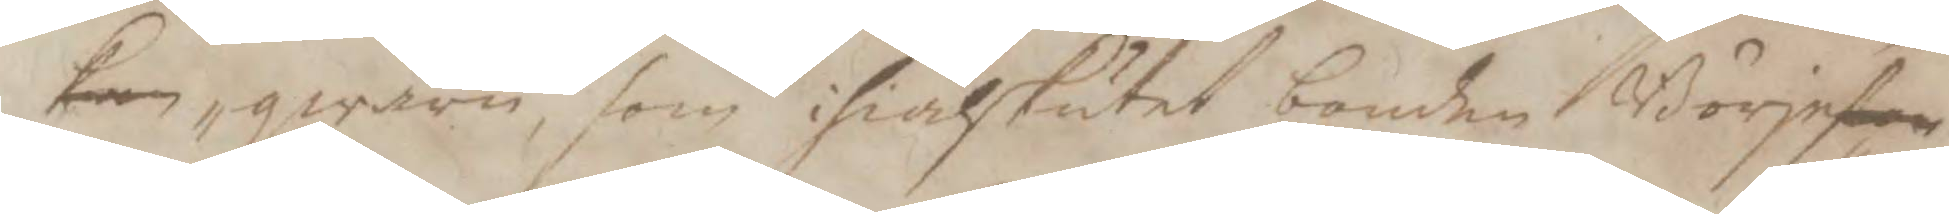ken, qwarn, som ihiälskutit bonden Börjeßon
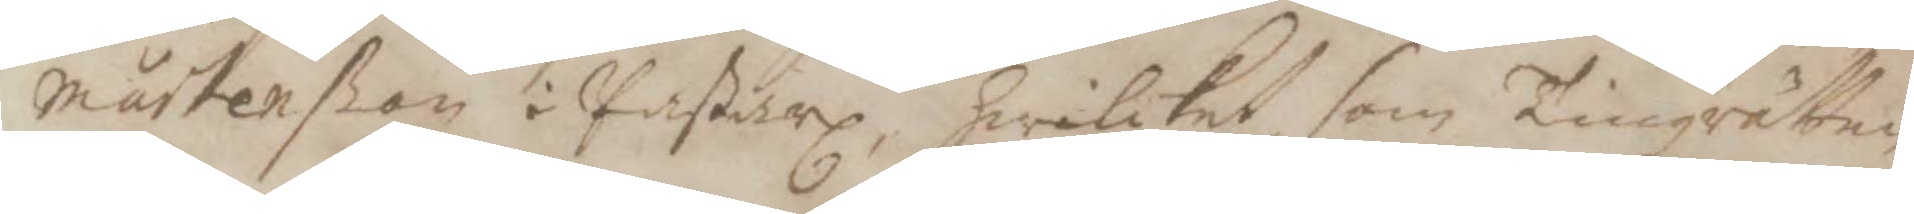mårtenßon i Paßarl, hwilket, som Tingzrätten
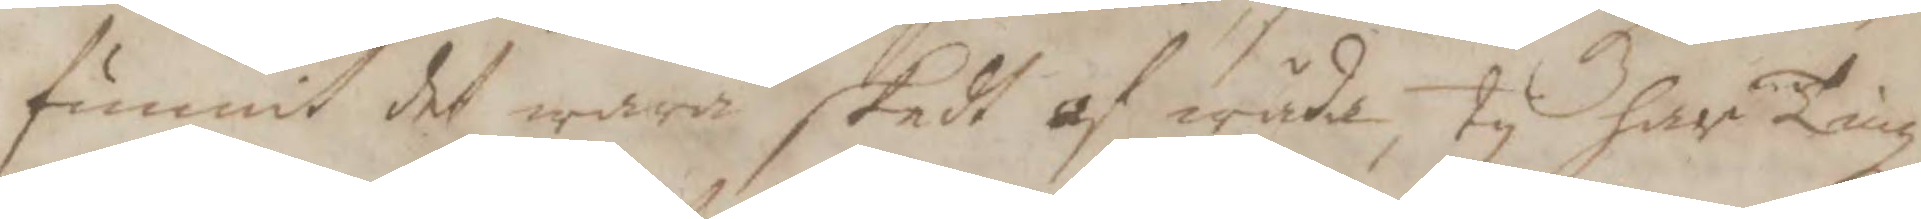funnit det wara skedt af wåda, ty har Tingz¬
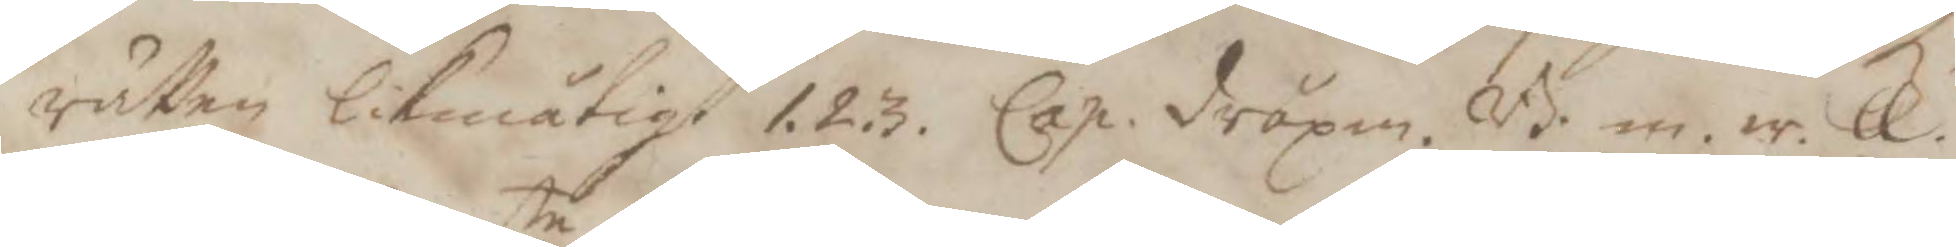rätten likmätigt 1.2.3. Cap. dråpa. B. m. ir. ll.
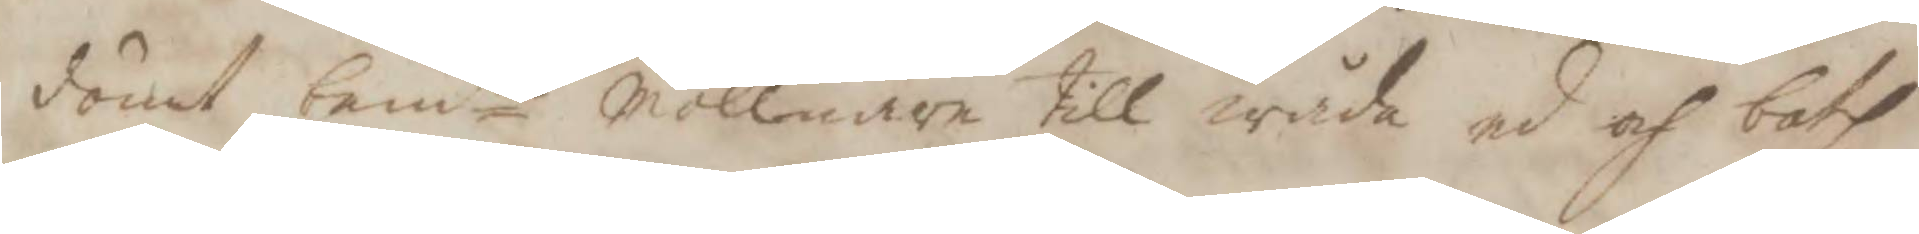dömt bemte möllnare till wåda ed och both
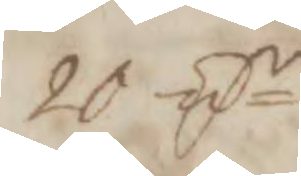20 Smr.
